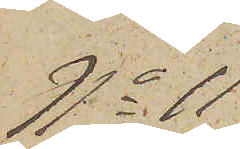No 11
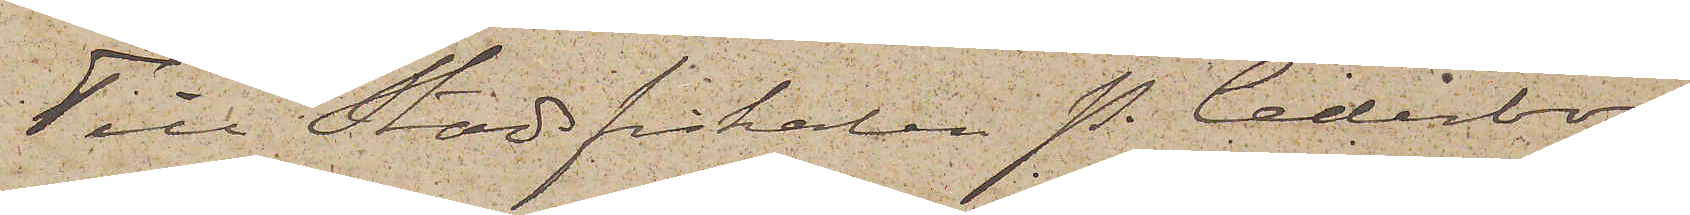Till Stadsfiskalen P. Cederborg
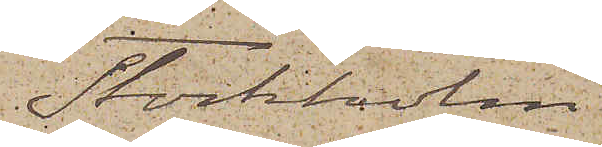Stockholm
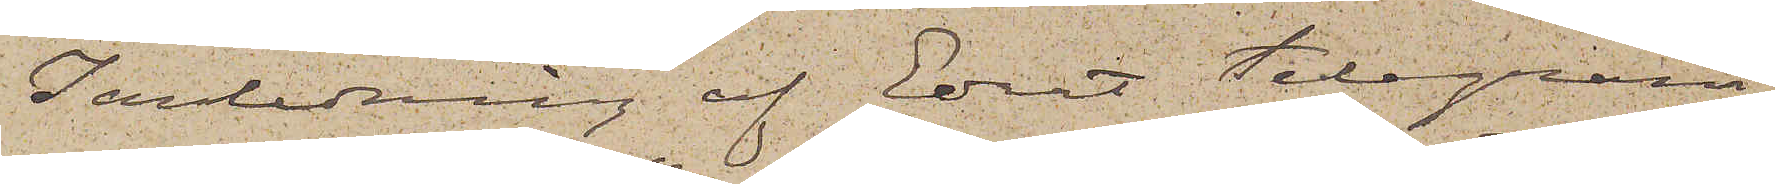I anledning af Edert telegram
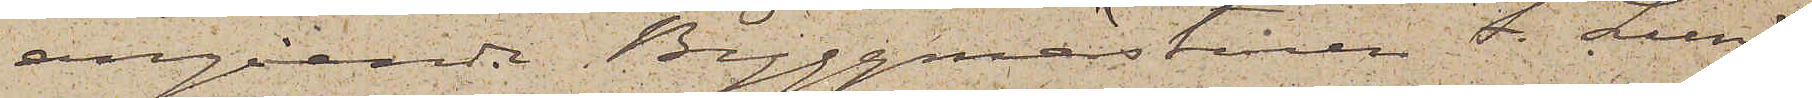angående Byggmästaren F. Lund¬
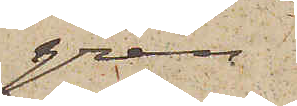gren
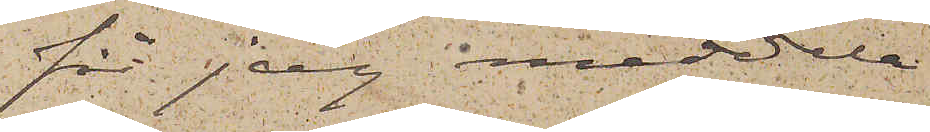får jag meddela
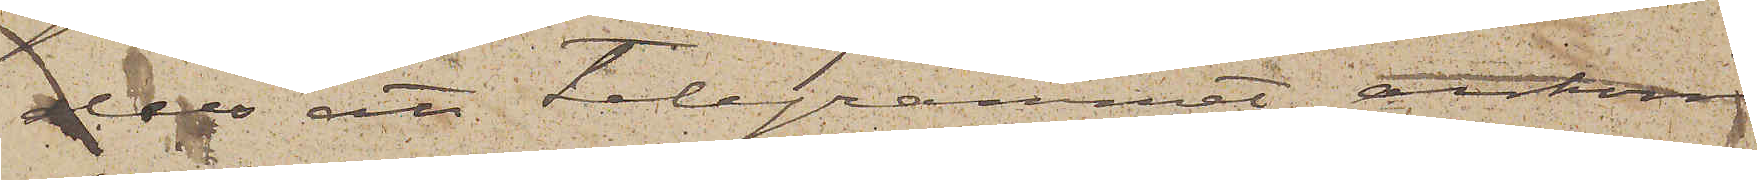dels att telegrammet ankom
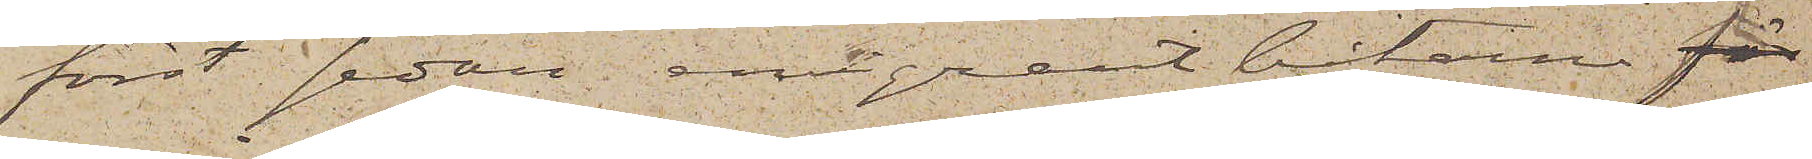först sedan emigrantbåtarna för
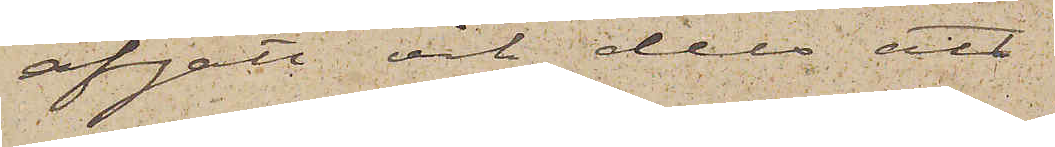afgått och dels att
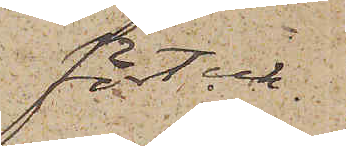förteck¬
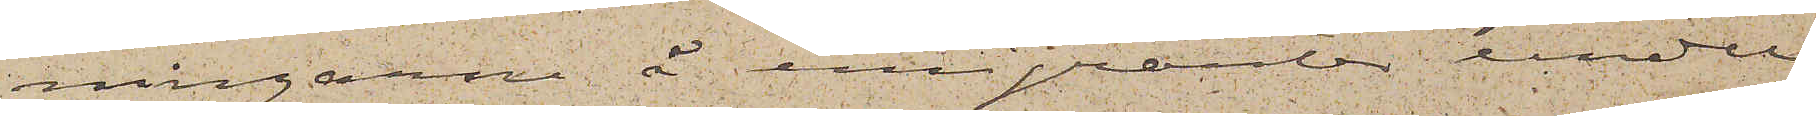ningarne å emigranter under
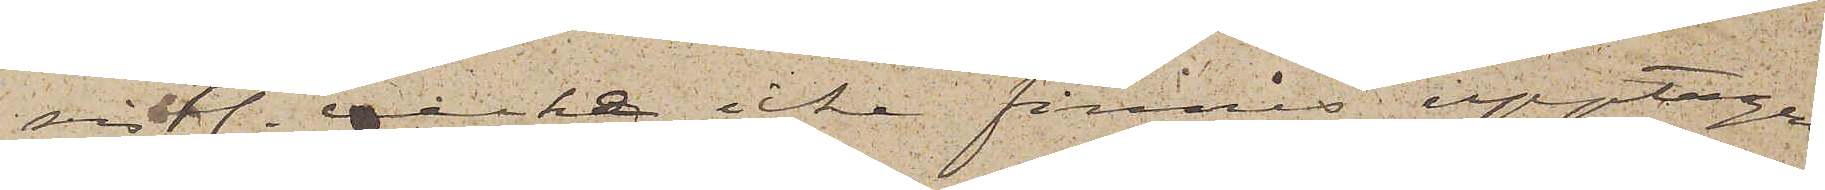sistl. vecka icke finnes upptagen
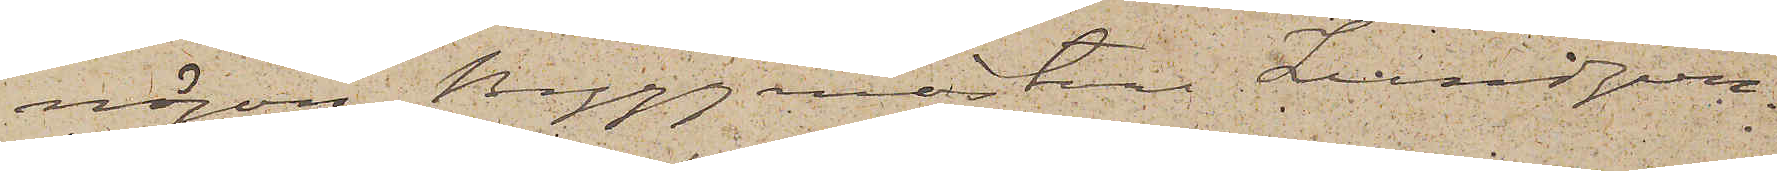någon Byggmästare Lundgren.
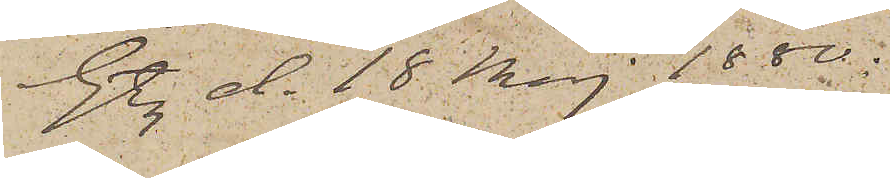Gtbg d. 18 Maj 1880.
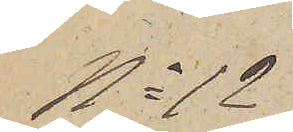No 12
